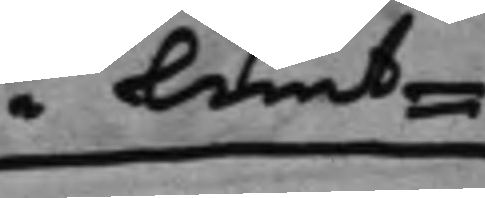i Lunt¬
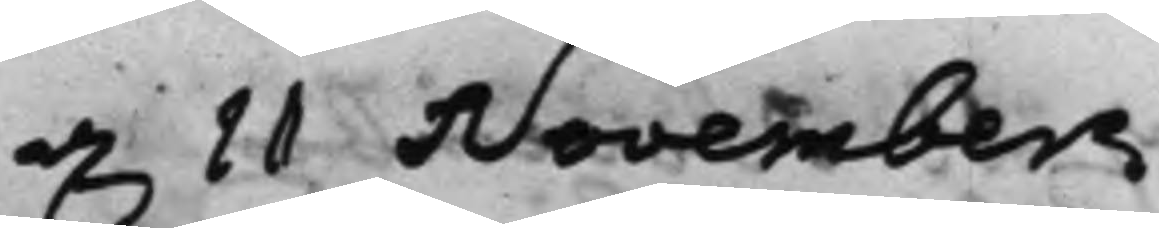d. 11 November
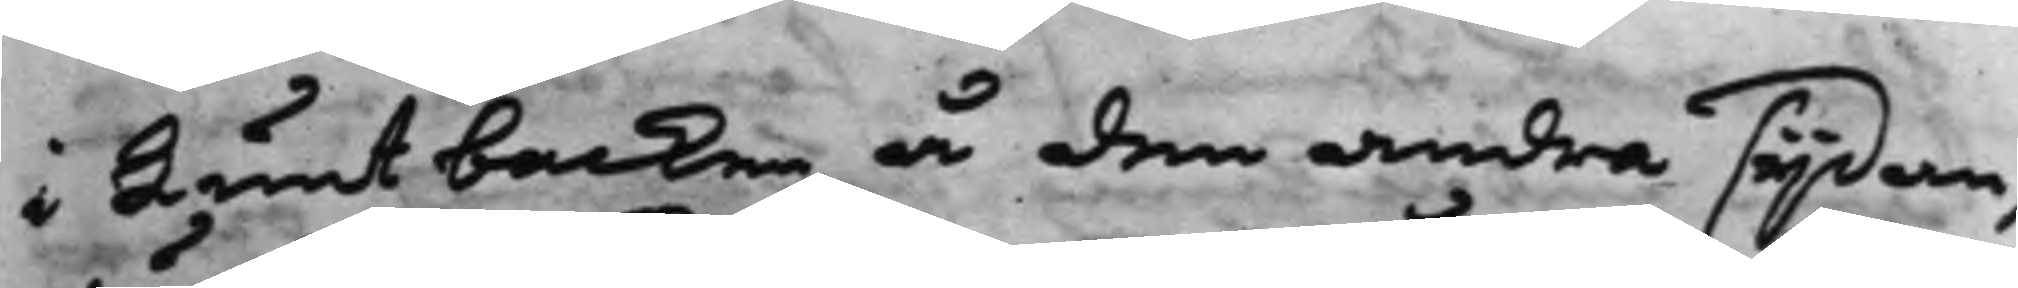i Luntbacken å den andra sijdan,
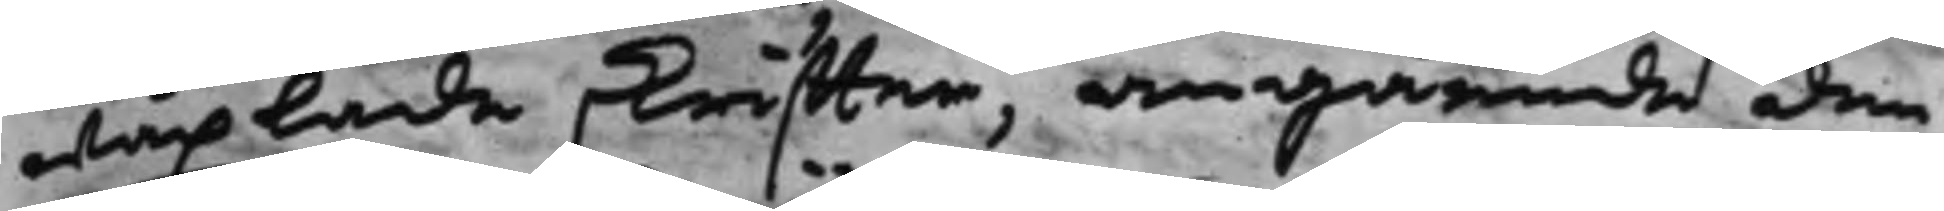wäxlade skriffter, angående den
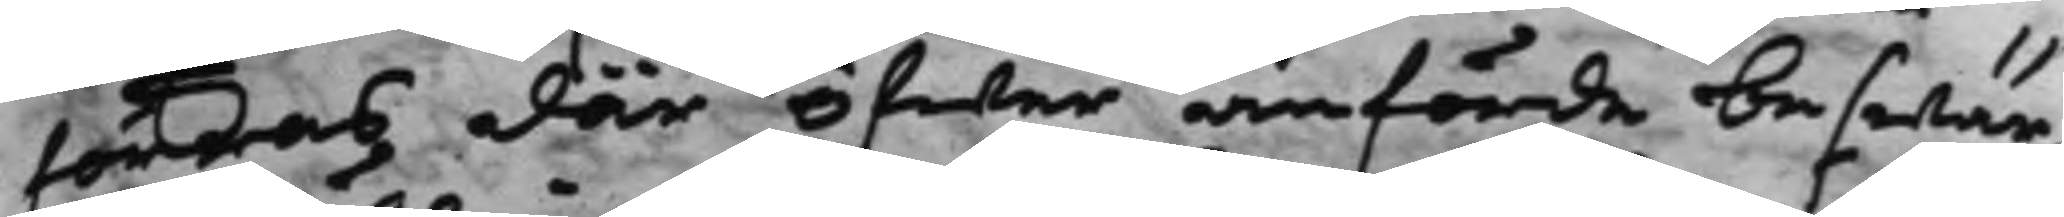förras där öfwer anförde beswär,
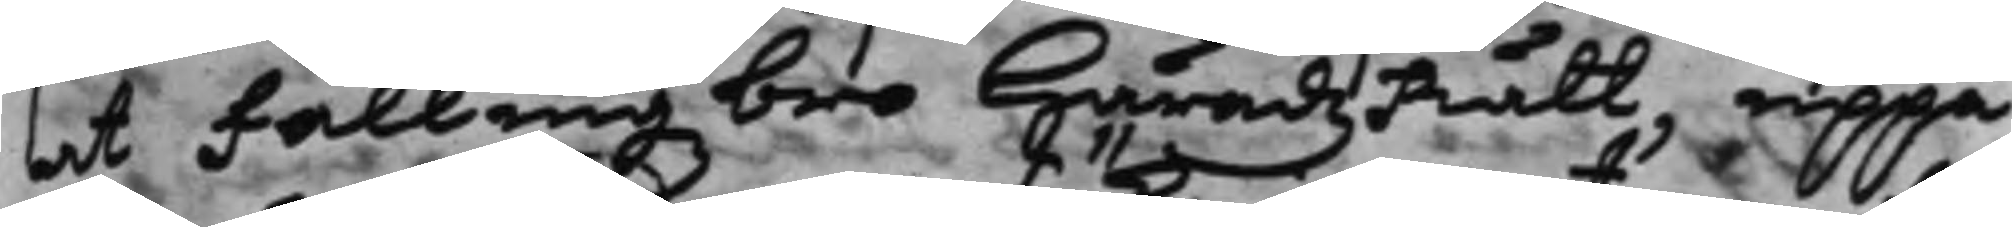at Fällingzbro HäradzRätt, uppå
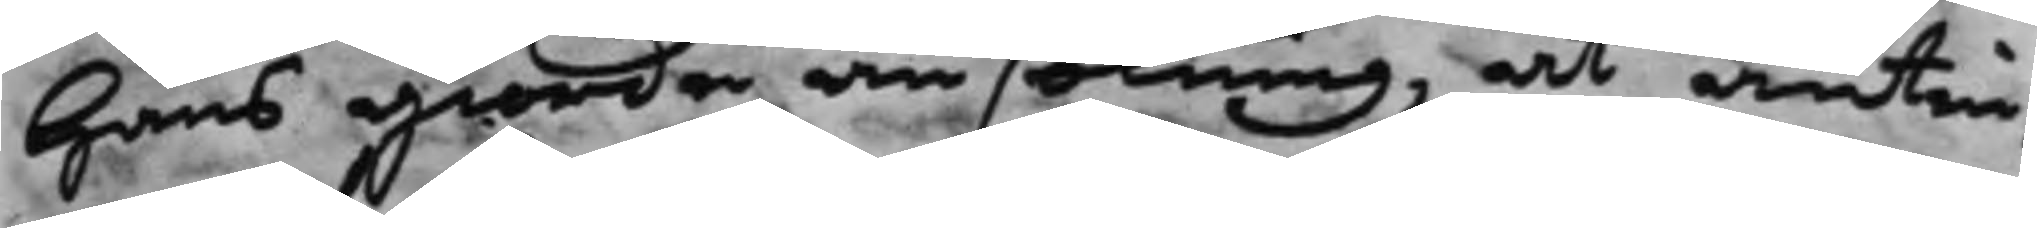hans giorde ansökning, at antin¬
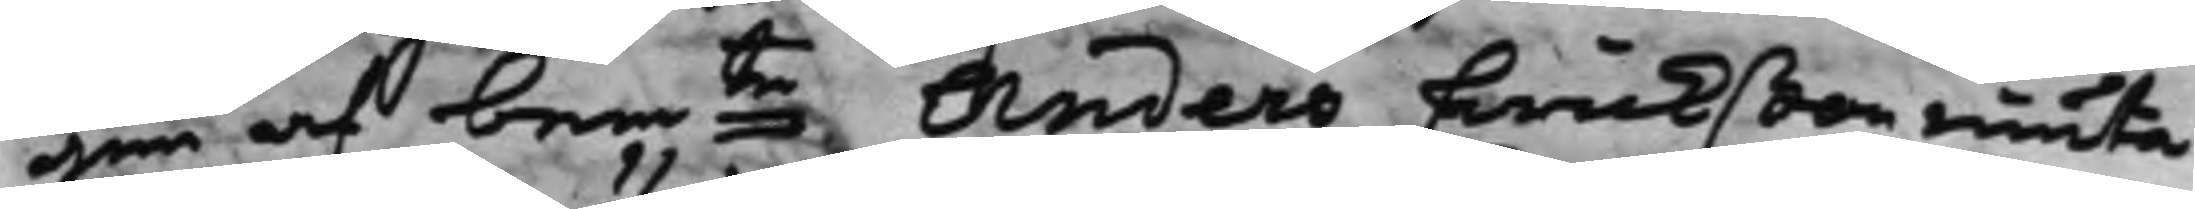gen af bemte Anders Erickßon niuta
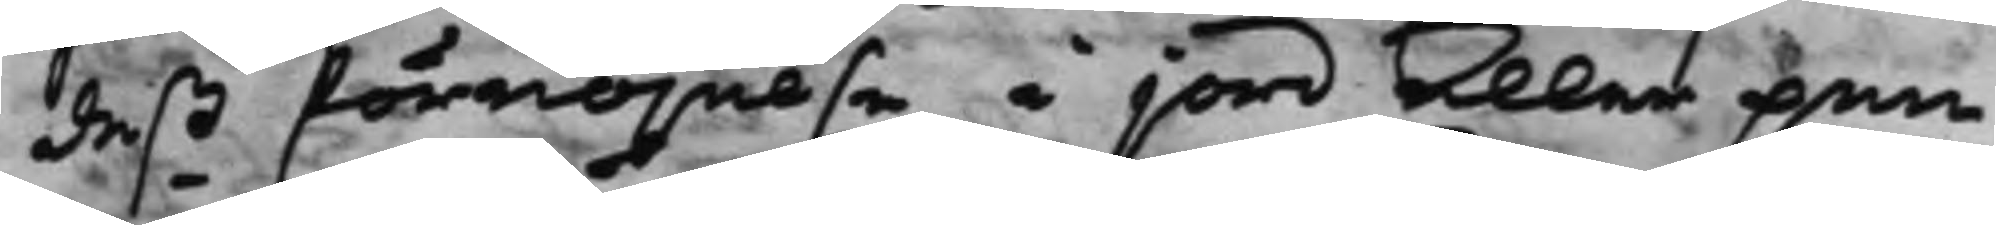deß förnöjelse i jord eller pen¬
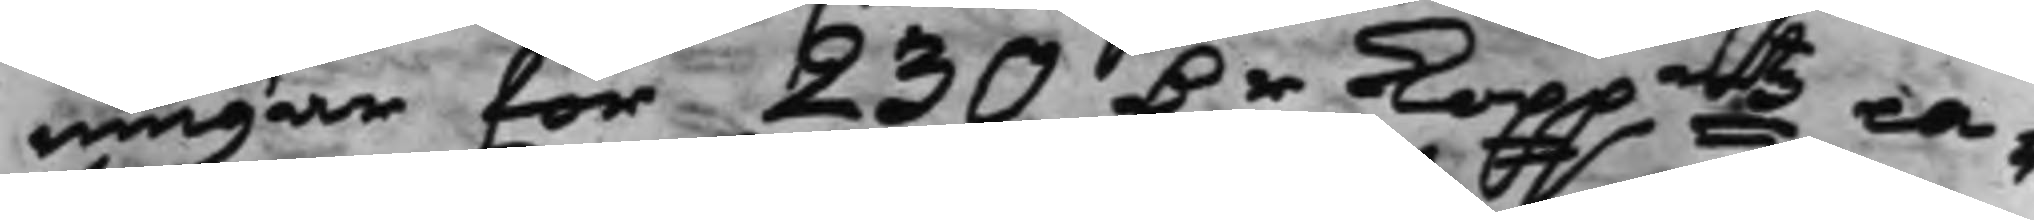ningar för 230 D.r Koppmts ca¬
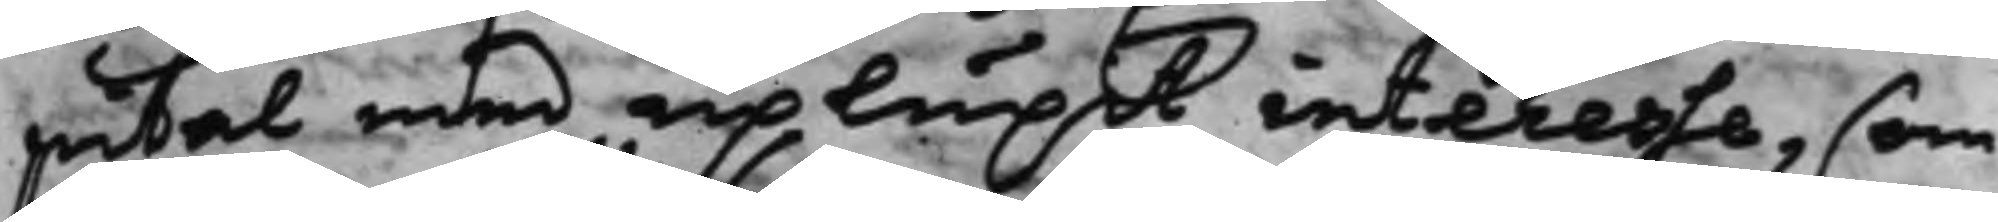pital med uplupit interesse, som
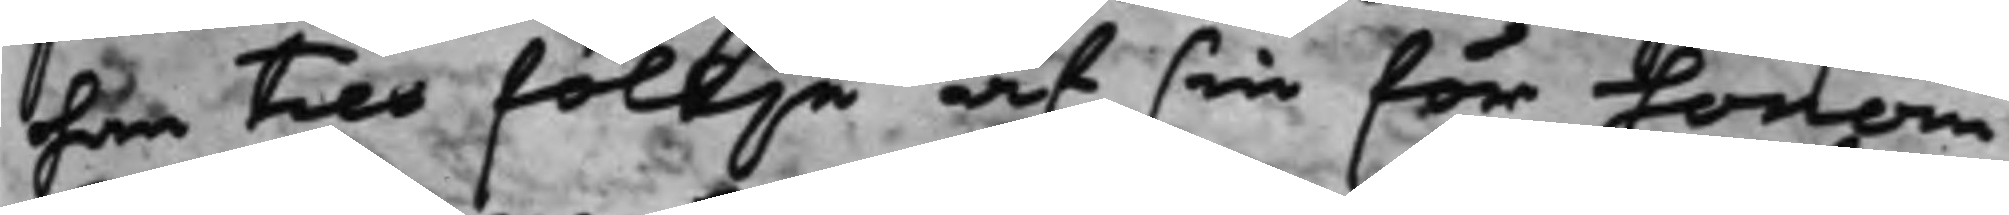han till föllje af sin för honom
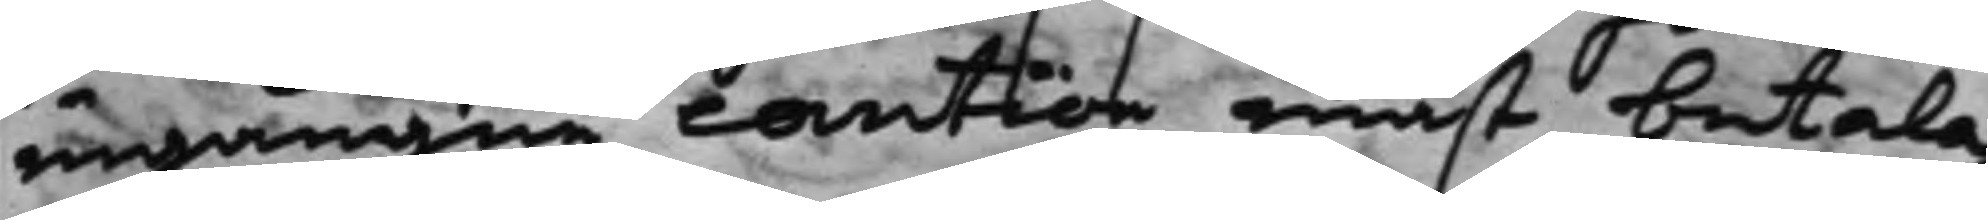ingången caution måst betala,
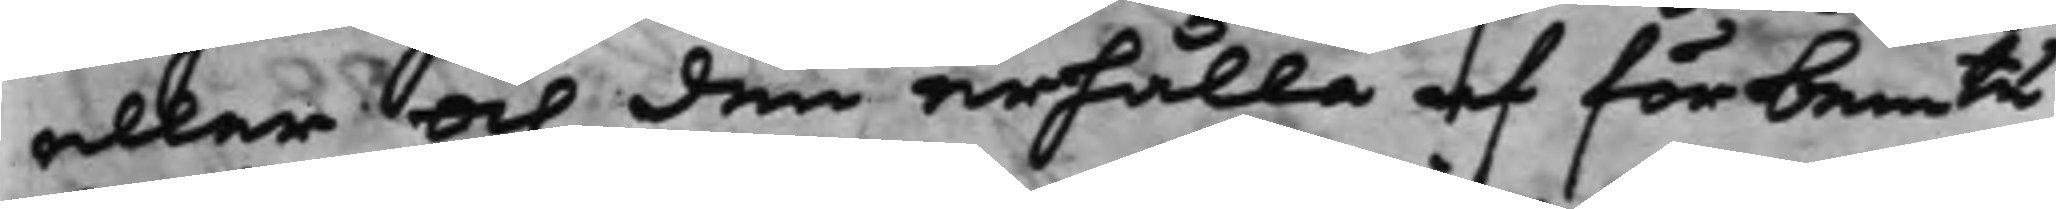eller och den erhålla af förbemte
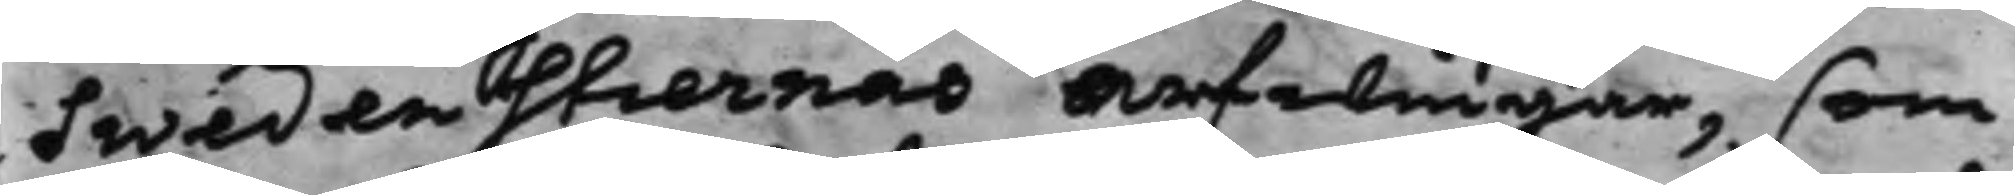Swedenstiernas arfwingar, som
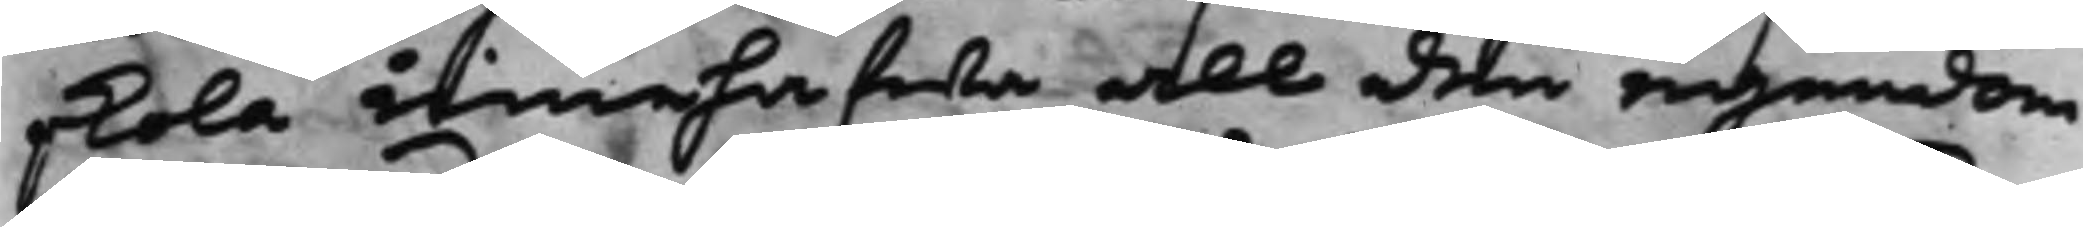skola innehafwa all den egendom
